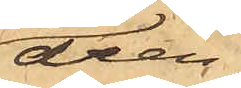drän¬
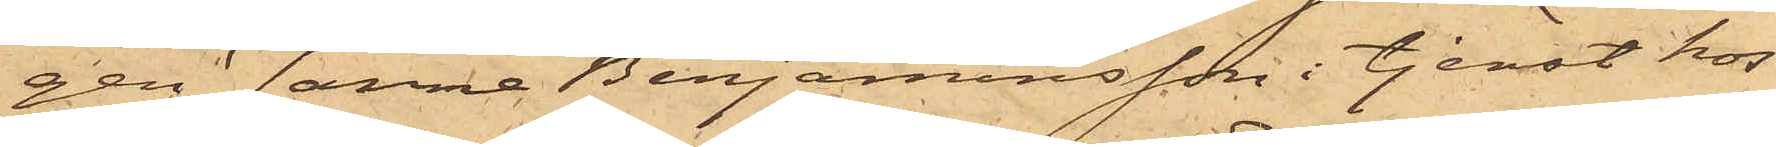gen Janne Benjaminsson i tjenst hos
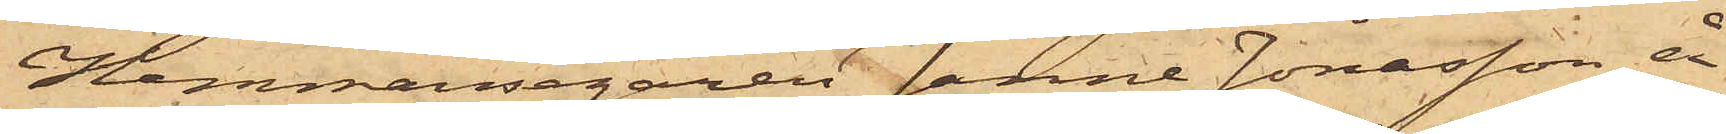Hemmansegaren Janne Jonasson å
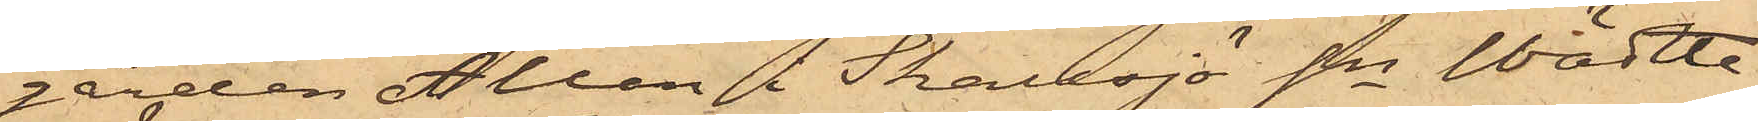gården Ållan i Skallsjö Sn Wädtle
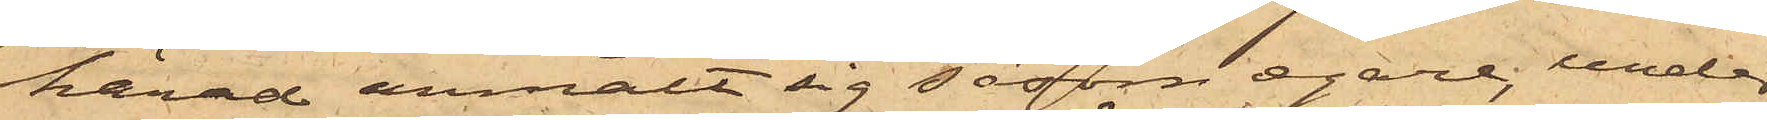härad anmält sig såsom egare, under
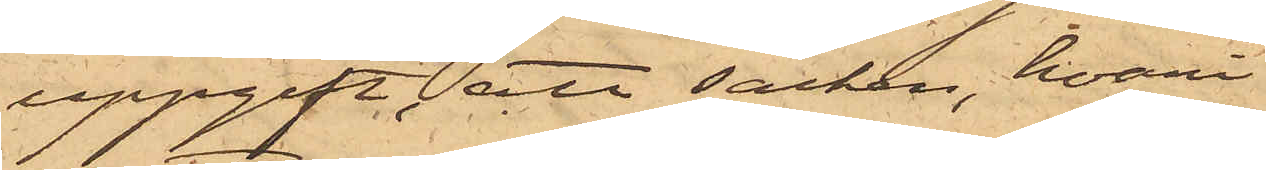uppgift att säcken, hvari
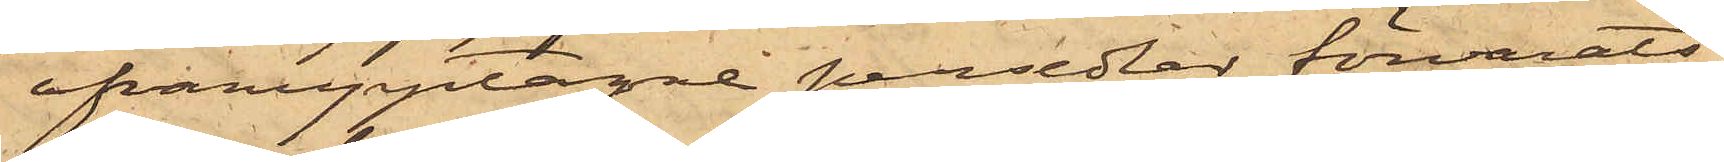ofvanupptagne persedlar förvarats,
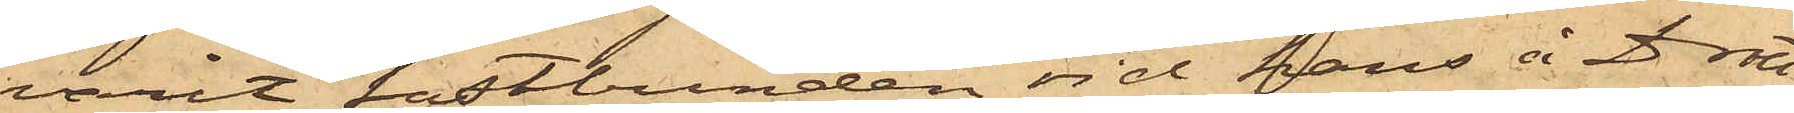varit fastbunden vid hans å Drott¬
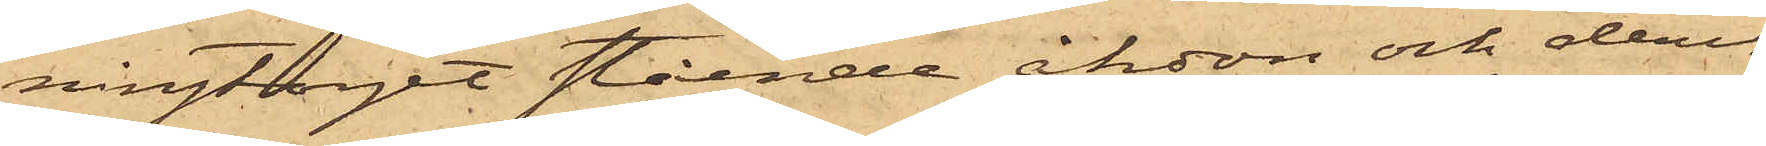ningtorget stående åkdon och deri¬
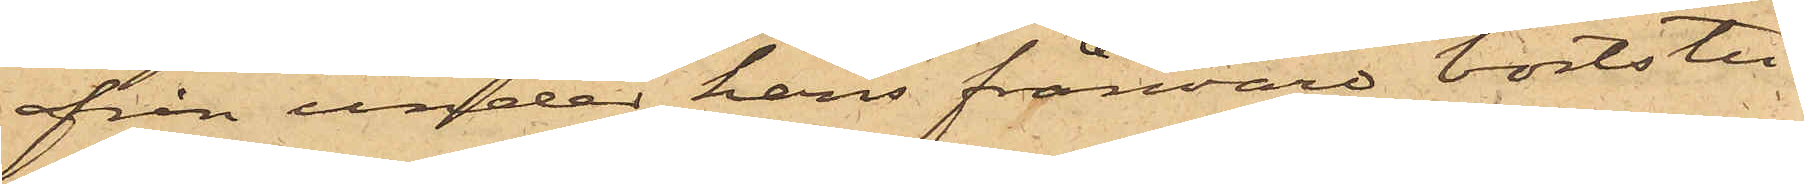från under hans frånvaro bortstu¬
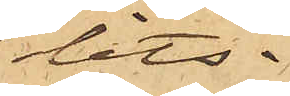lits.
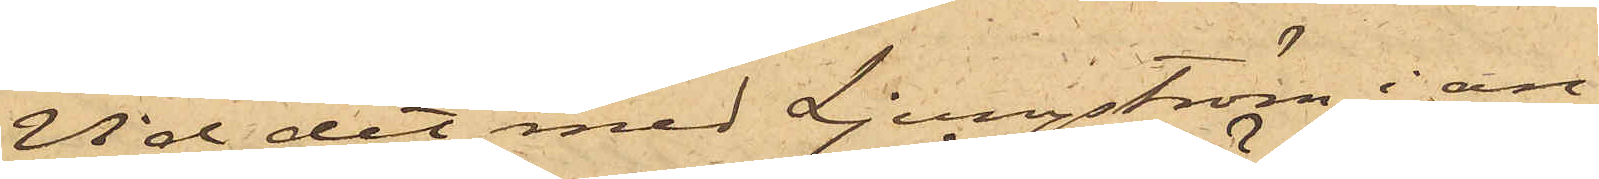Vid det med Ljungström i an¬
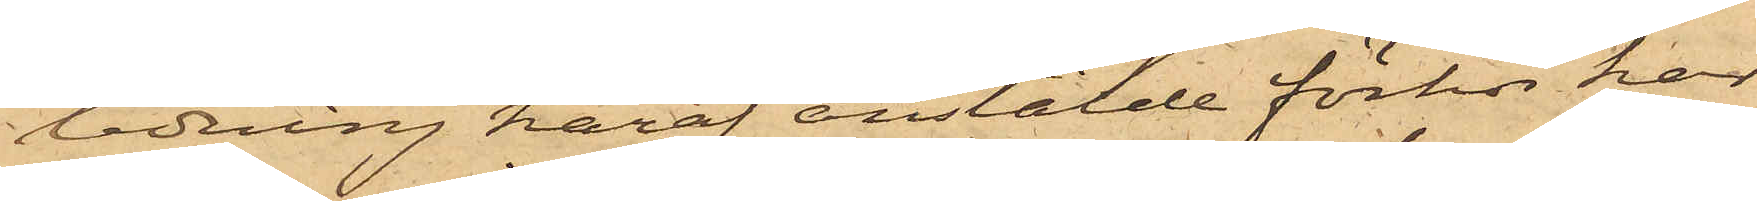ledning häraf anstälde förhör har
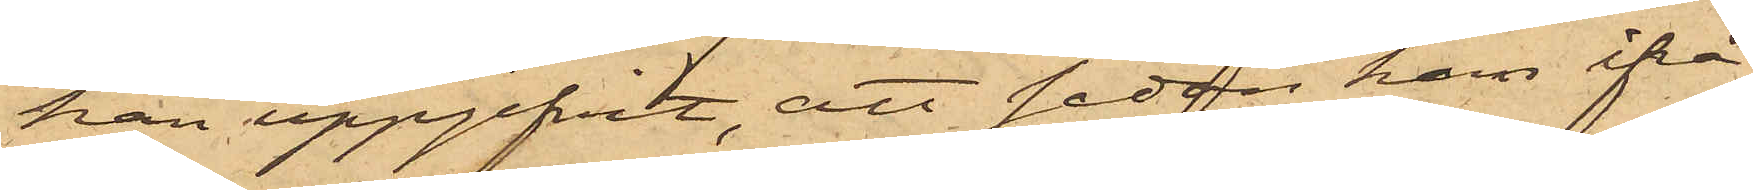han uppgifvit, att sedan han ifrå¬
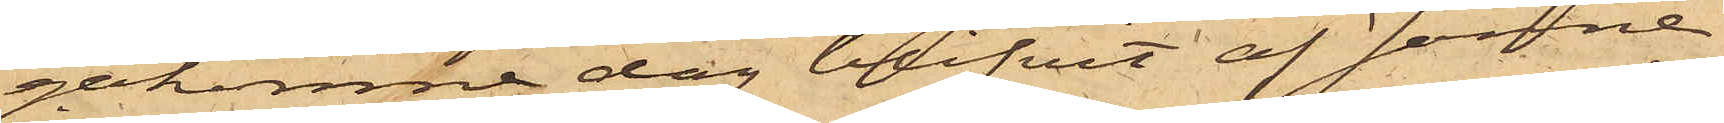gakomne dag blifvit af Janne
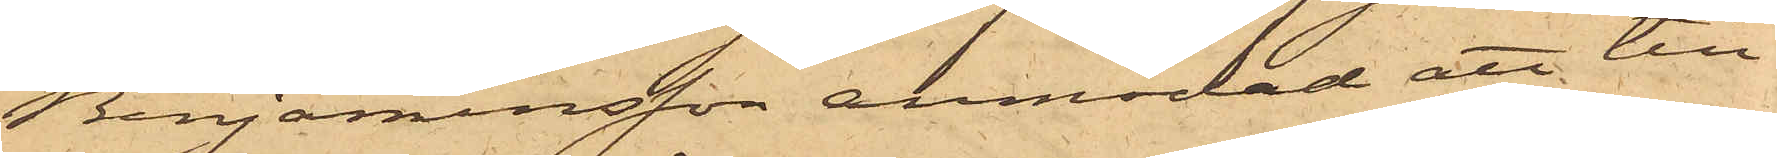Benjaminsson anmodad att till¬
